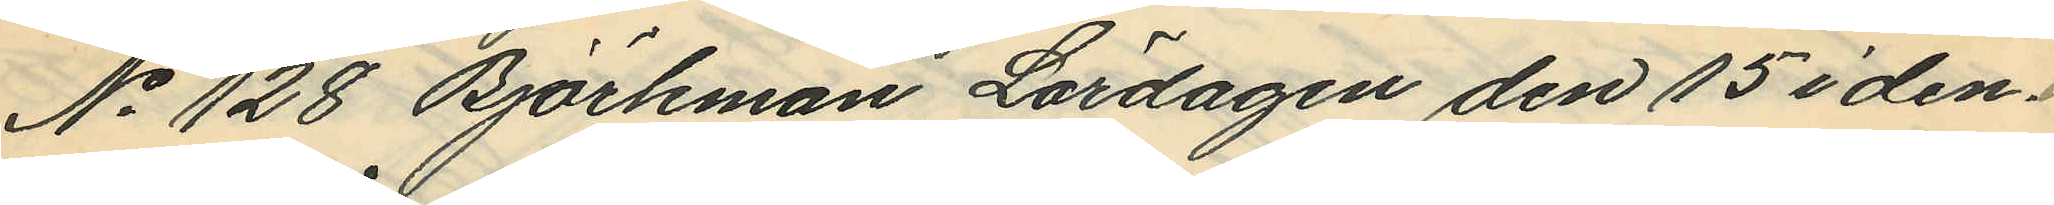No 128 Björkman Lördagen den 15 i den¬
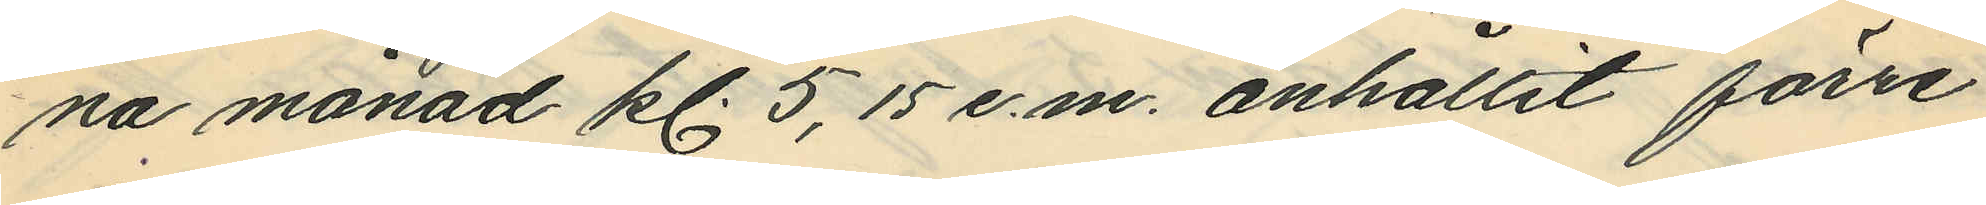na månad kl. 5,15 e.m. anhållit förre
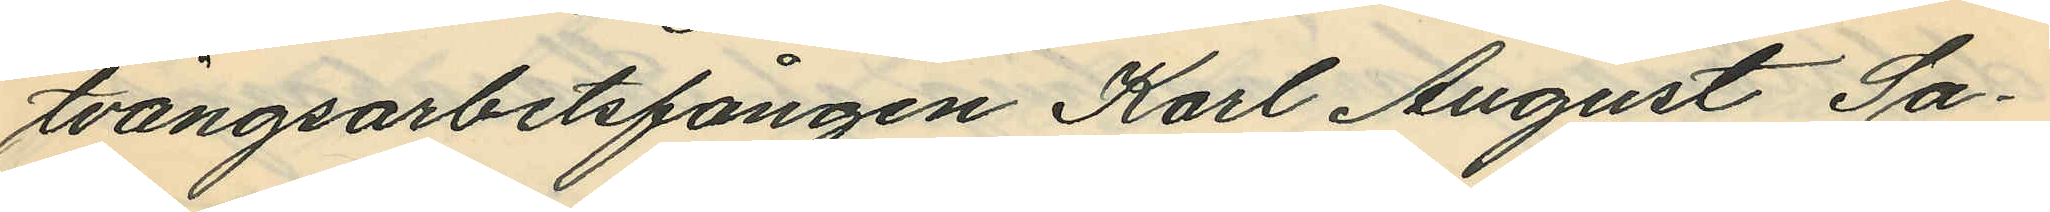tvångsarbetsfången Karl August Sa¬
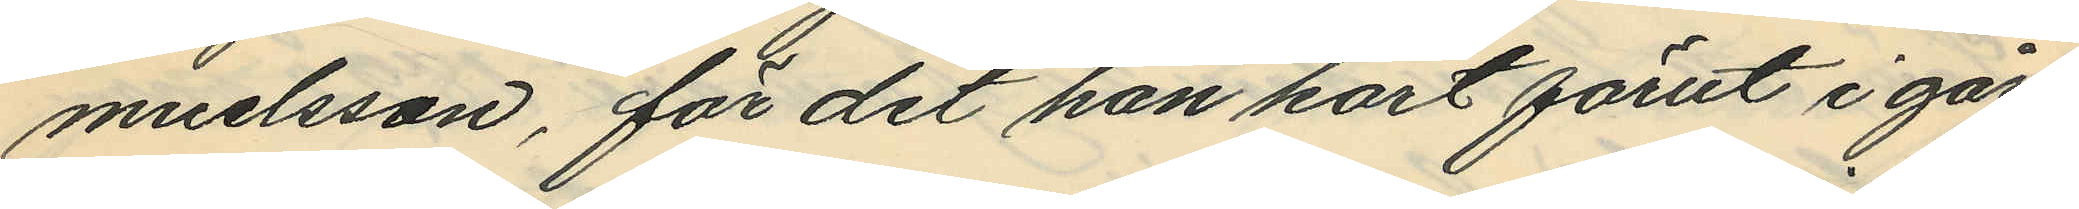muelsson, för det han kort förut i går¬
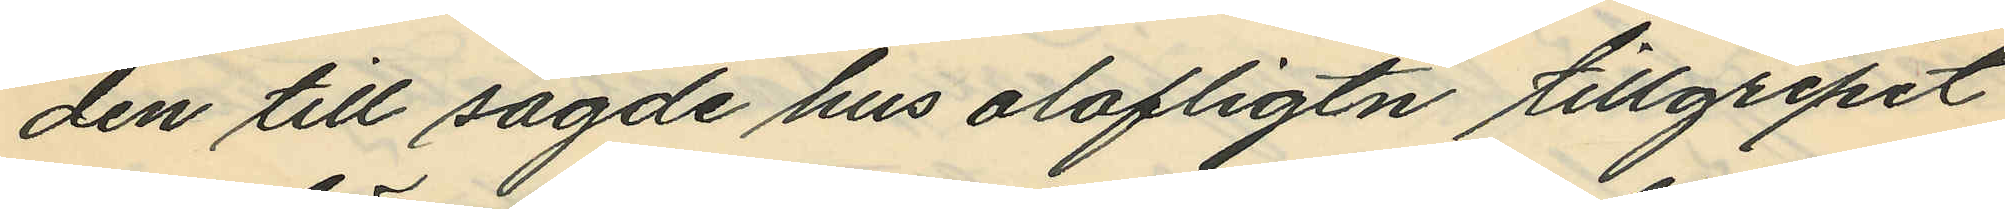den till sagde hus olofligtn tillgripit
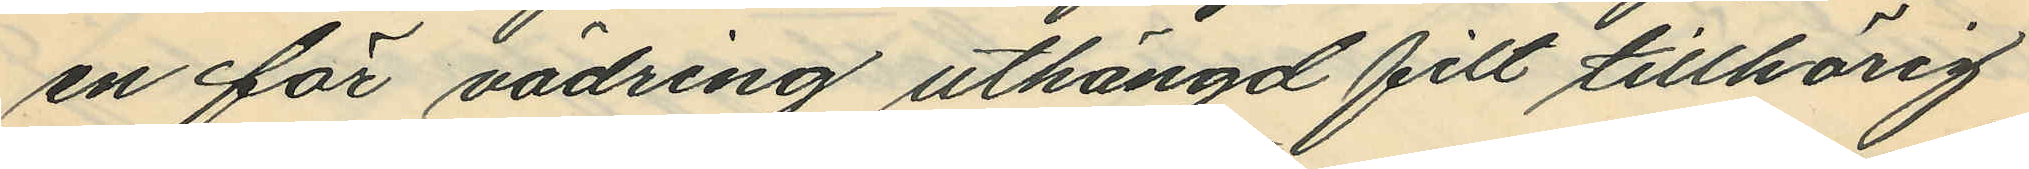en för vädring uthängd filt tillhörig
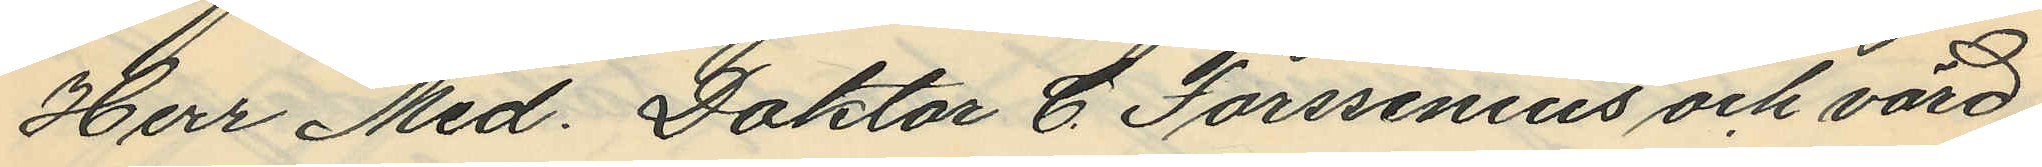Herr Med. Doktor C. Forssenius och värd
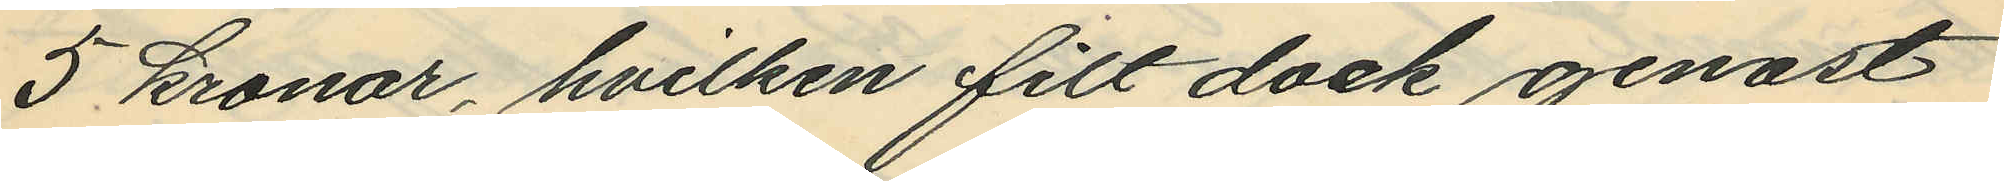5 kronor, hvilken filt dock genast
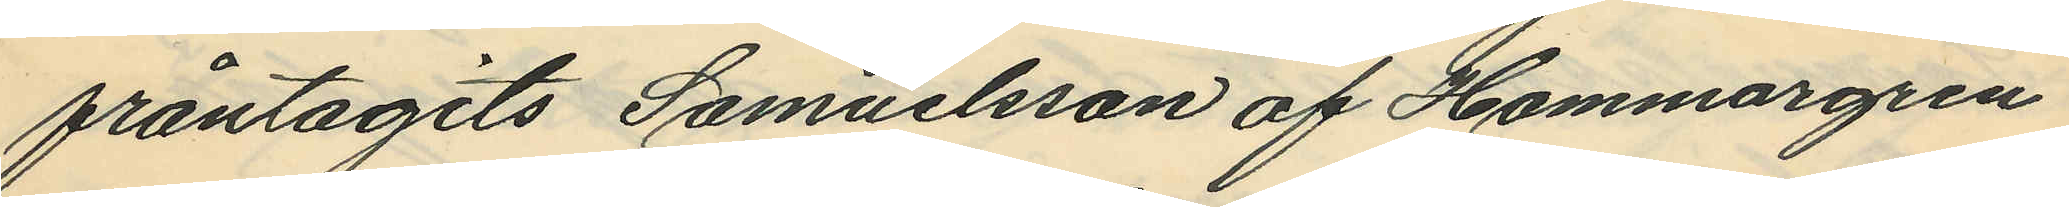fråntagits Samuelsson af Hammargren
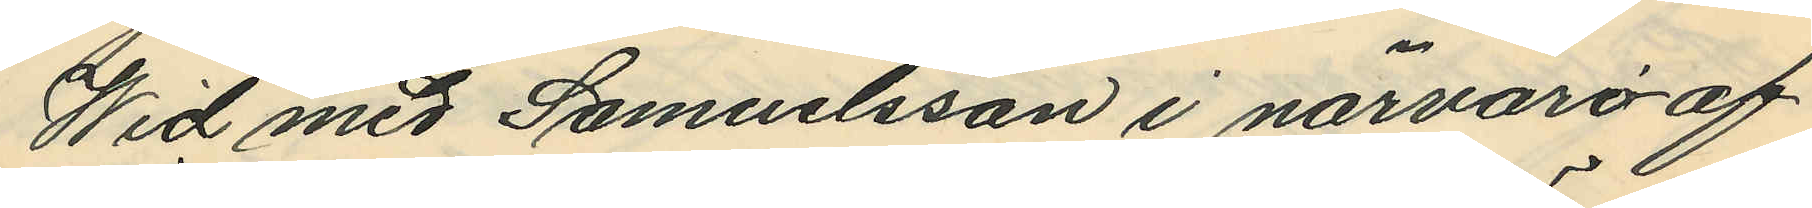Wid med Samuelsson i närvaro af
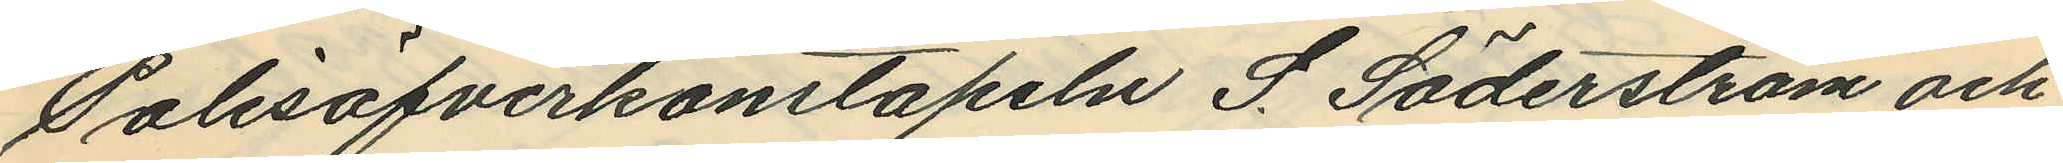Polisöfverkonstapeln S. Söderström och
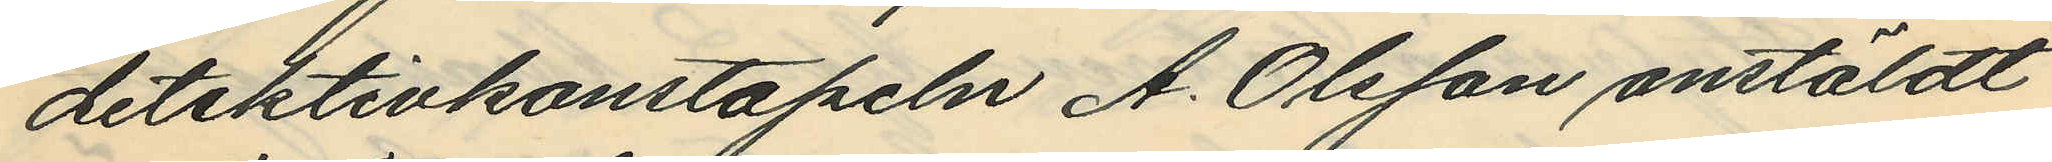detektivkonstapeln A. Olsson anstäldt
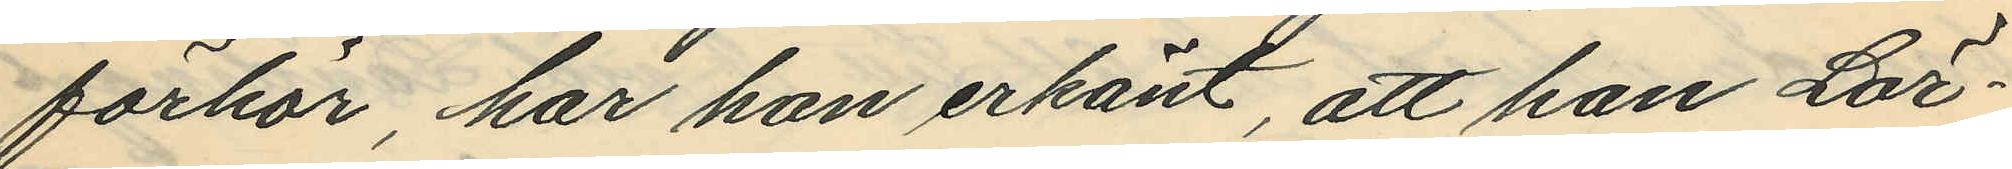förhör har han erkänt, att han Lör¬
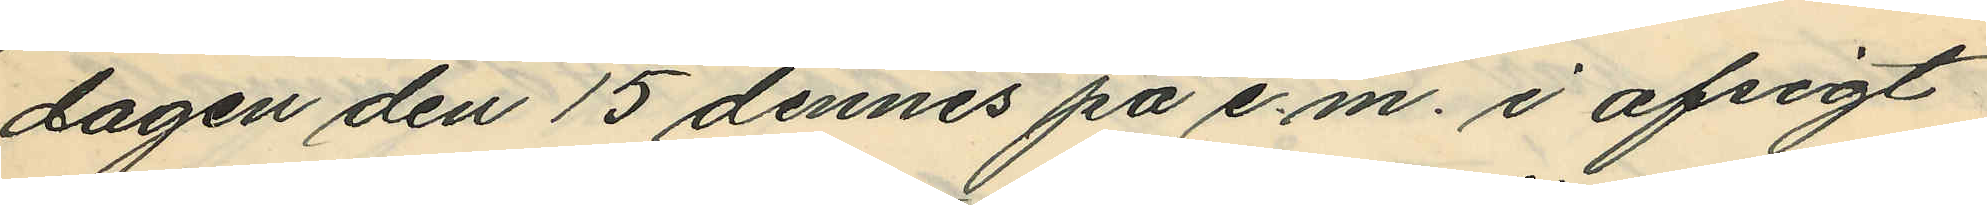dagen den 15 dennes på e.m. i afsigt
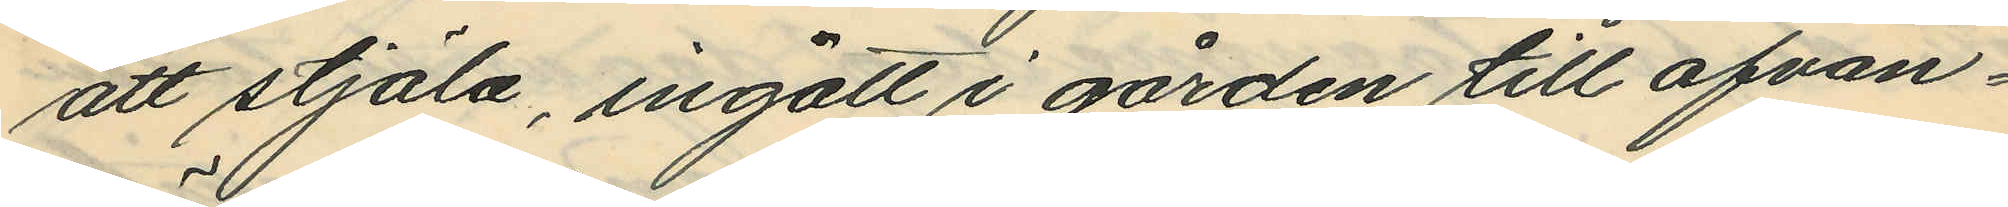att stjäla, ingått i gården till ofvan¬
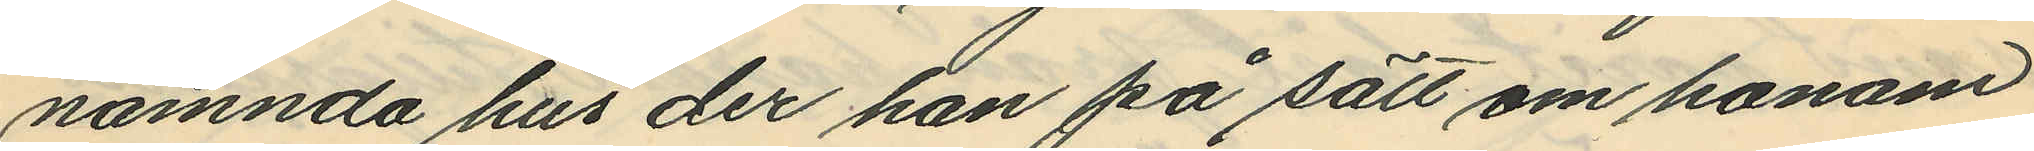nämnda hus der han på sätt om honom
